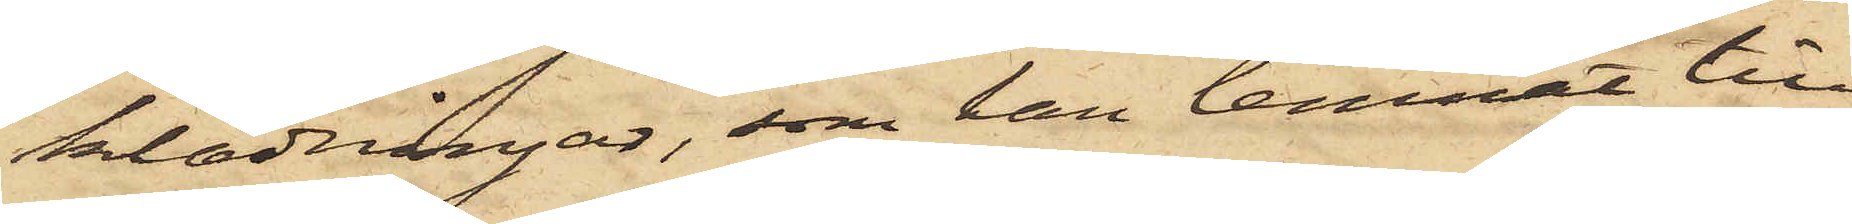klädningar, som han lemnat till
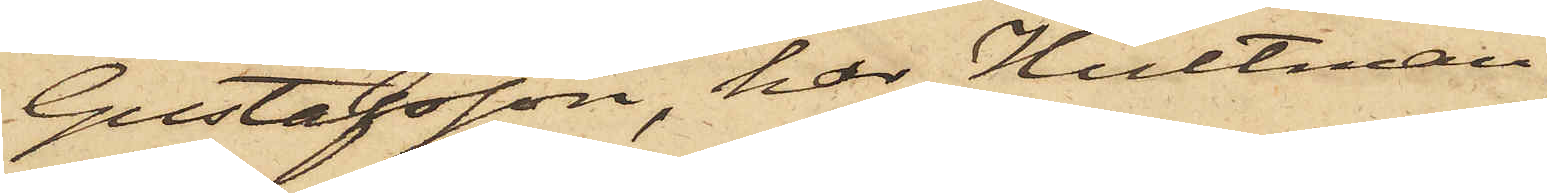Gustafsson, har Hultman
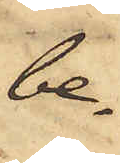be¬
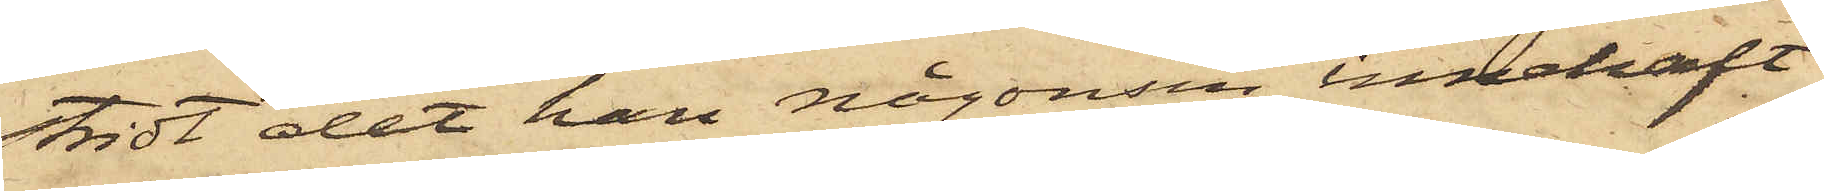stridt det han någonsin innehaft
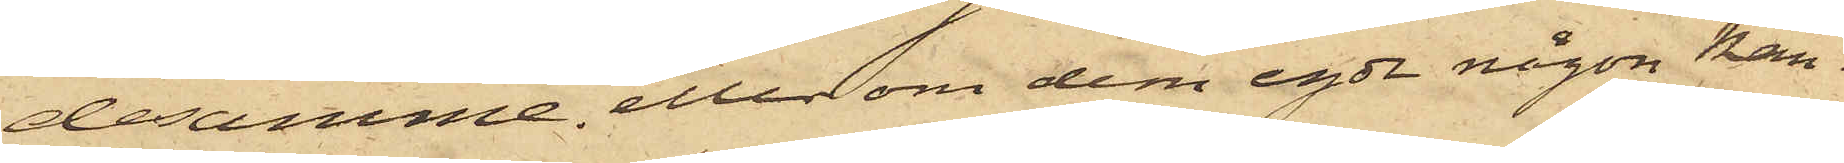desamme eller om dem egde någon kän¬
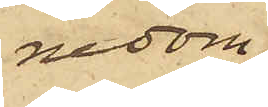nedom
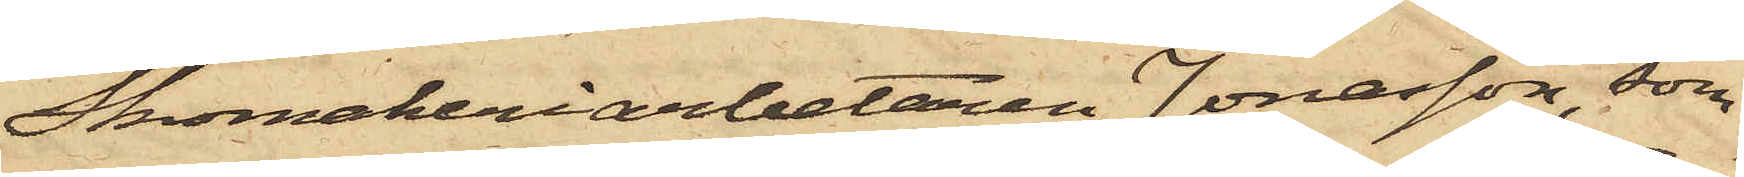Skomakeriarbetaren Jonasson, som
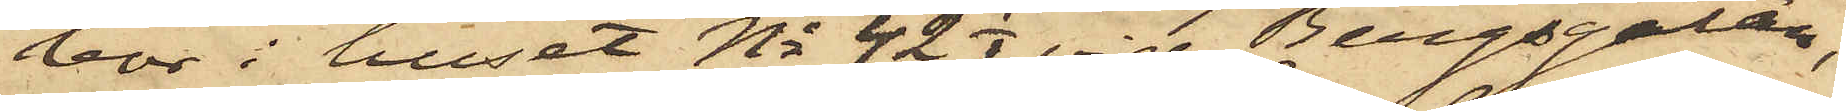bor i huset No 42 1/2 vid Bergsgatan,
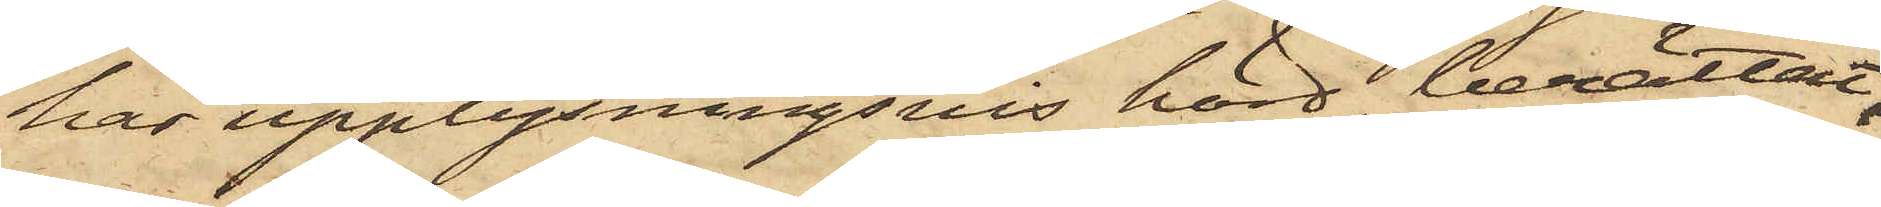har upplysningsvis hörd berättat,
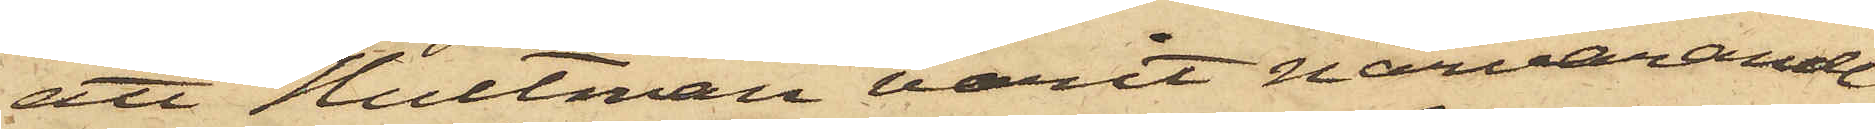att Hultman varit närvarande
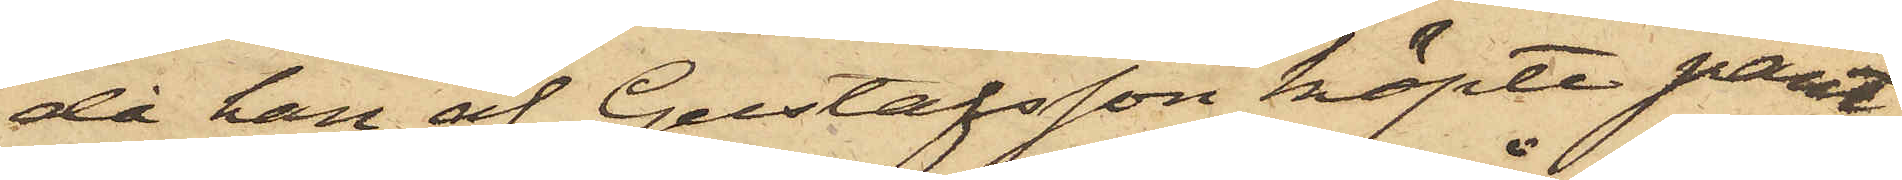då han af Gustafsson köpte pant¬
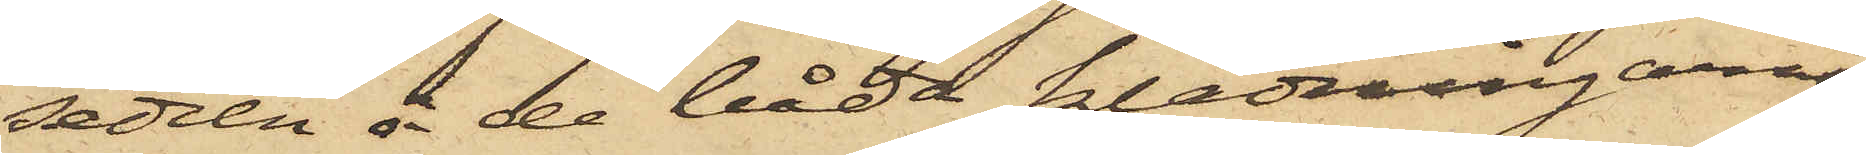sedeln å de båda klädningarne
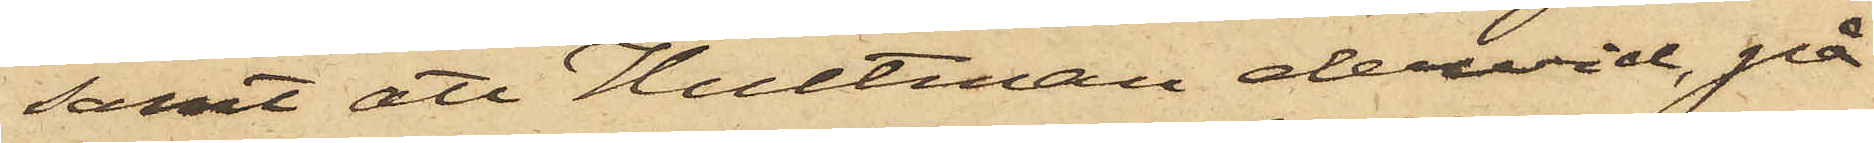samt att Hultman dervid, på
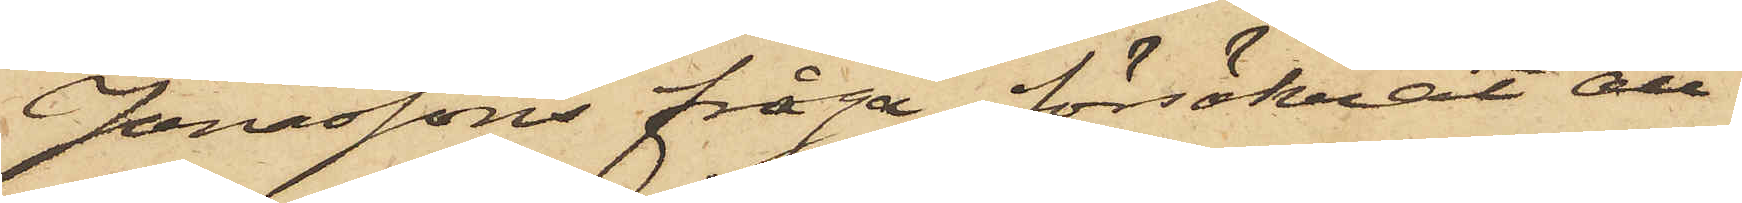Jonassons fråga, försäkrat att
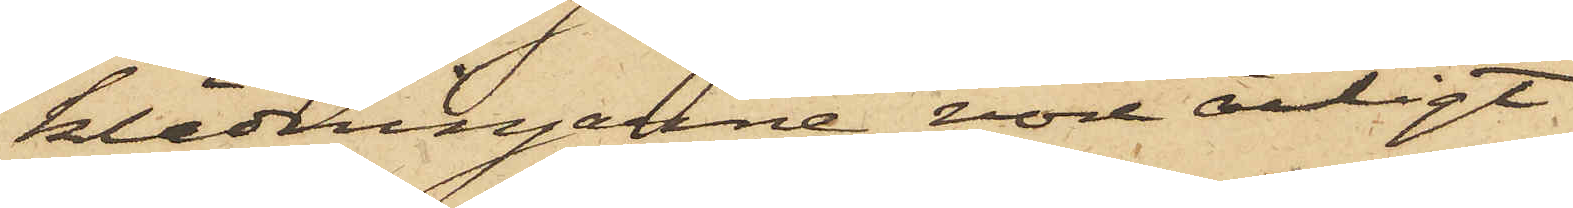klädningarne vore ärligt
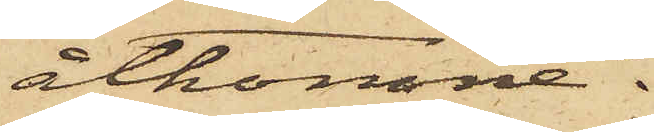åtkomne.
